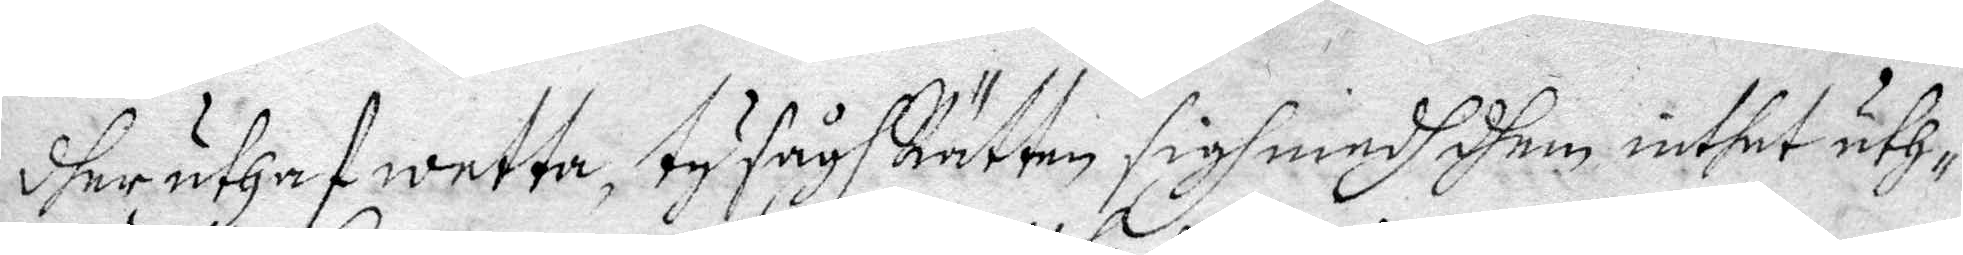dher uthaf wetta, ty sågs Rätten sigh medh dhem inthet uth¬
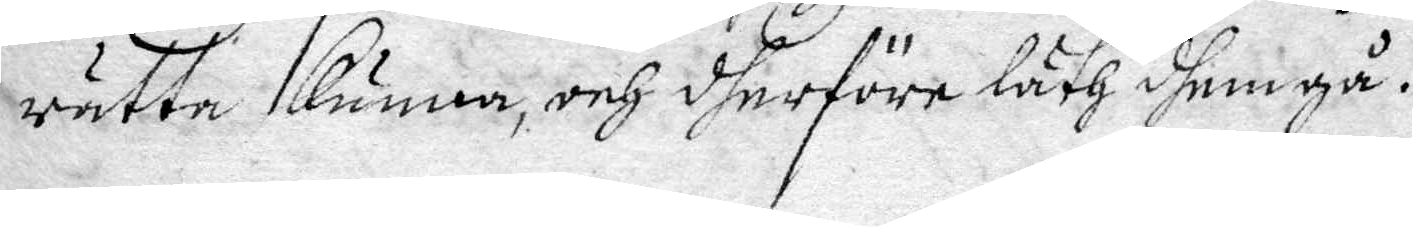rätta kunna, och dherföre låth dhem gå.
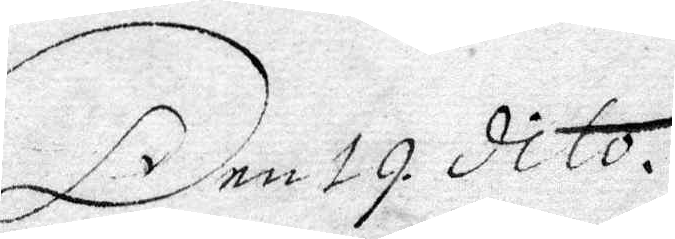Den 19. dito.
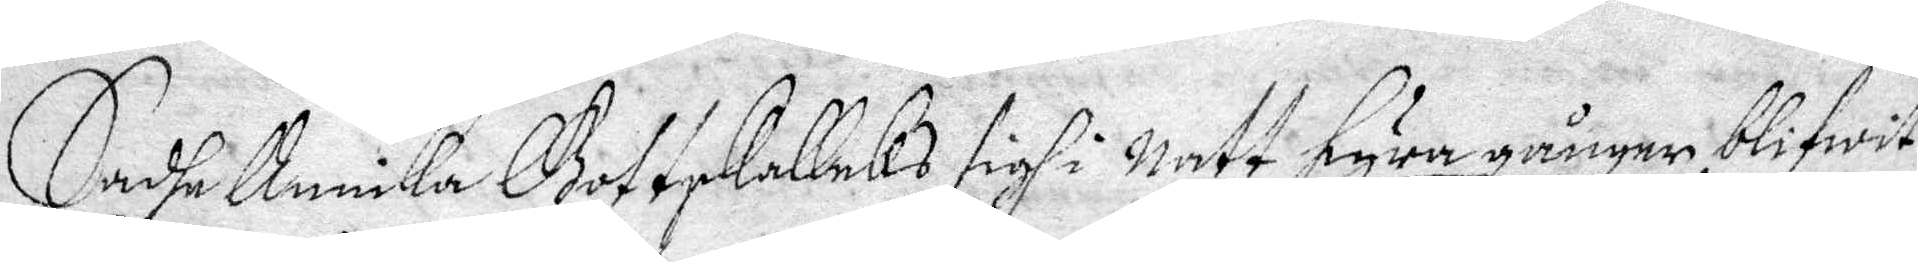Sadhe Annika Gottskallcks sigh i Natt fyra gånger blifwit
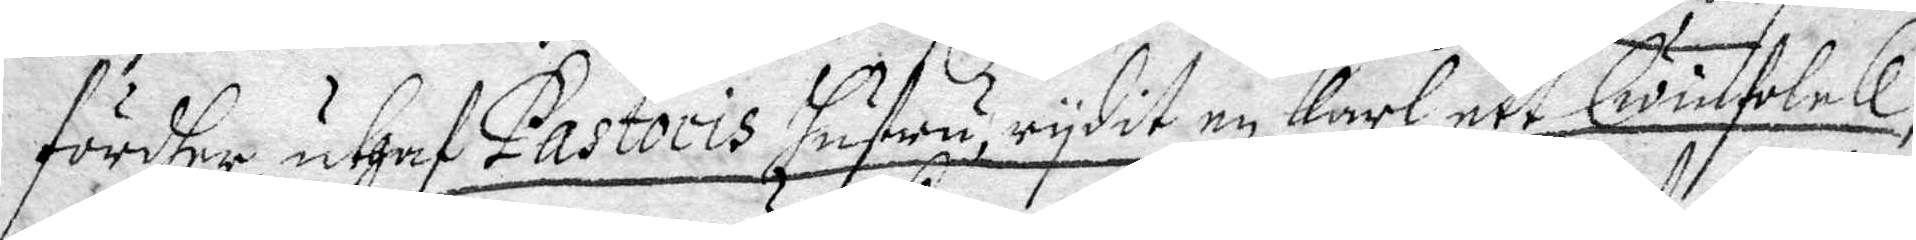fördher, uthaf Pastoris hustru, rydit en karl, ett Qwinfolck,
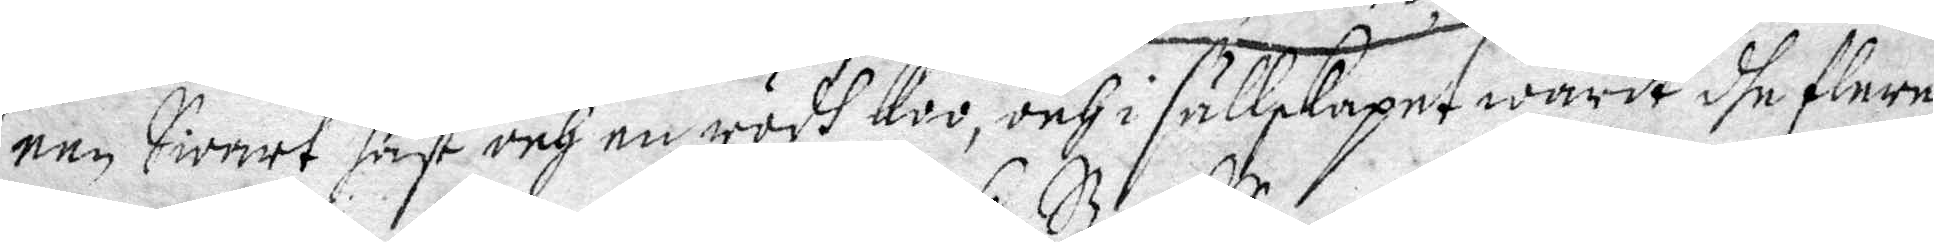een swart häst och en rödh koo, och i sällskapet warit dhe flere
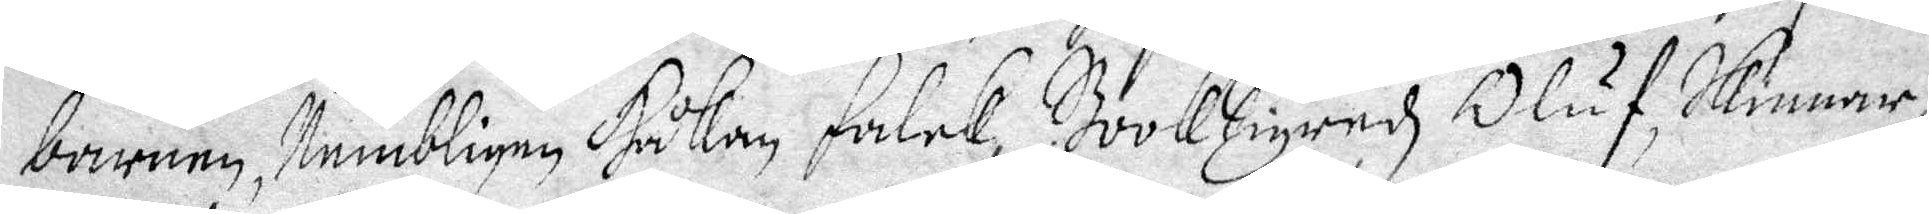barnen, Nembligen Håkan falck, BookSigredz Oluf, Skinnar¬
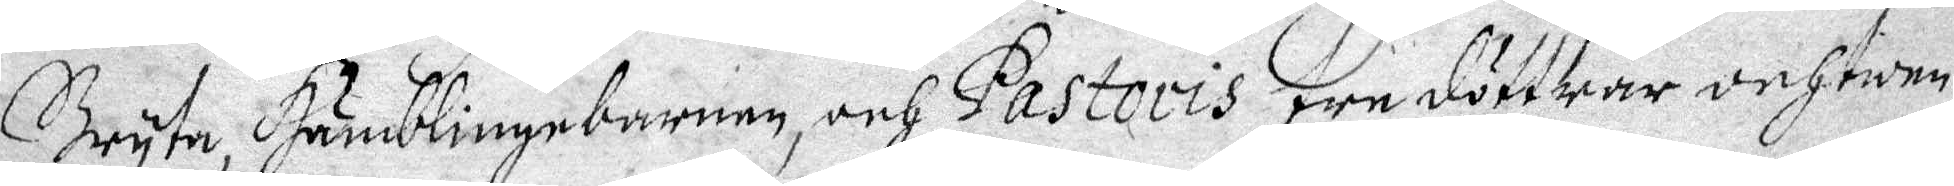Bryta, Humblingebarnen, och Pastoris tre döttrar och twen¬
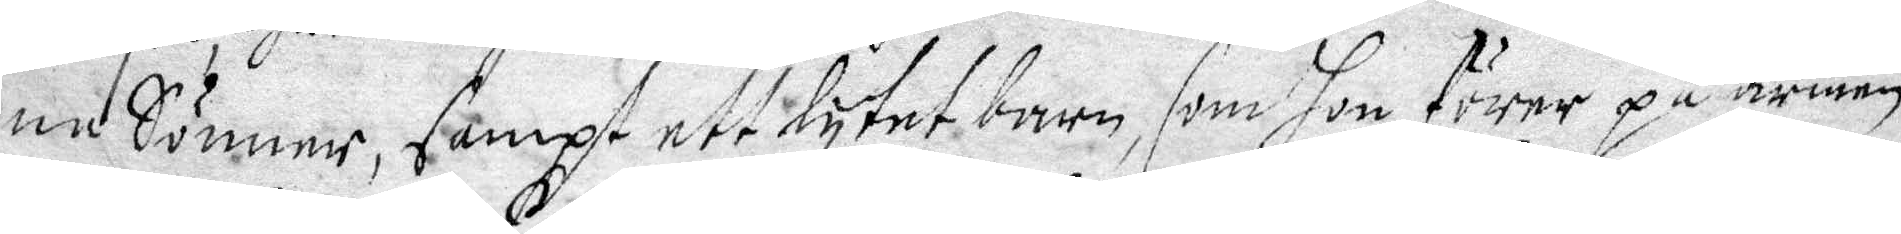ne Sönner, sampt ett lytet barn, som hon förer på armen,
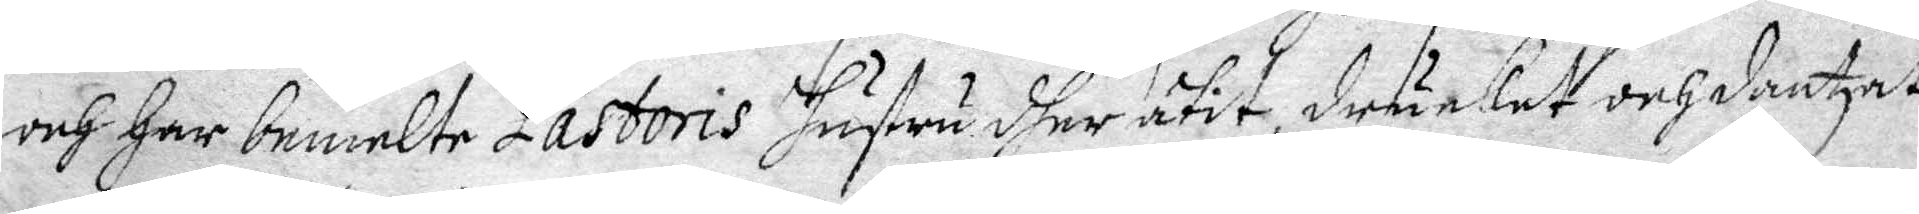och har bemelte Pastoris Hustru dher ätit, drucket och dantzat,
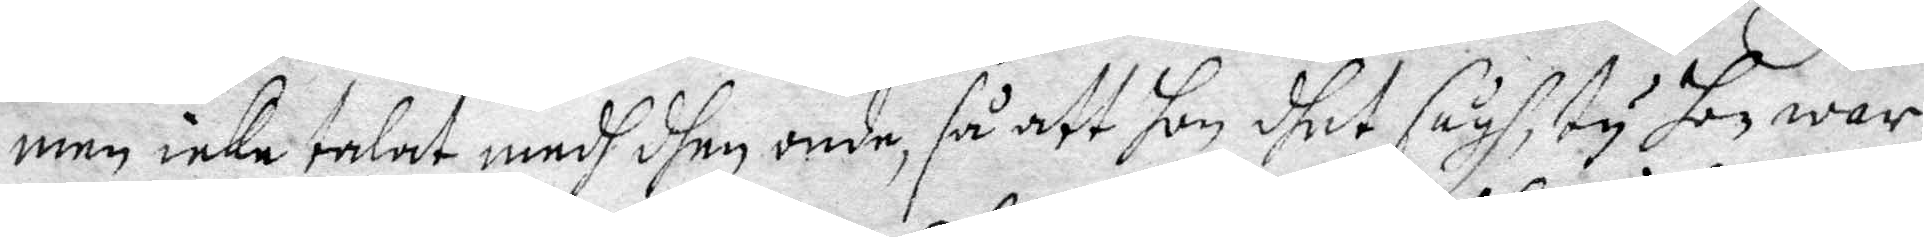men icke talat medh dhen onde, så att hon dhet sågh, ty han war
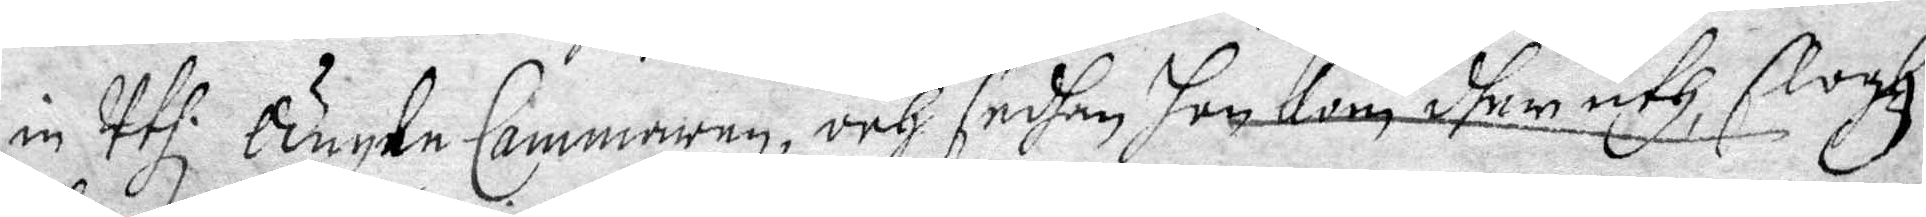in Uthi Ängle Cammaren, och sedhan hon kom dher uthi, slogh
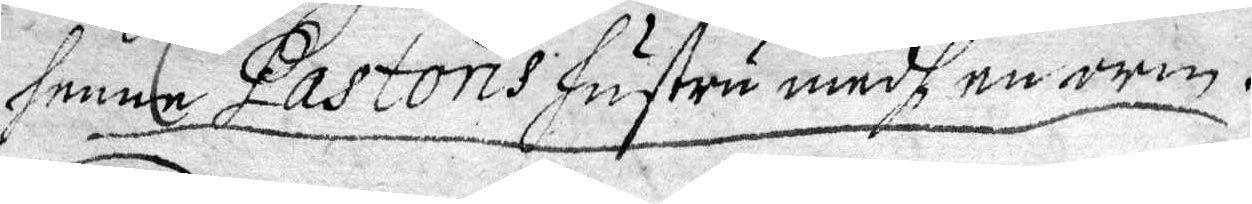henne Pastoris Hustru medh en orm.
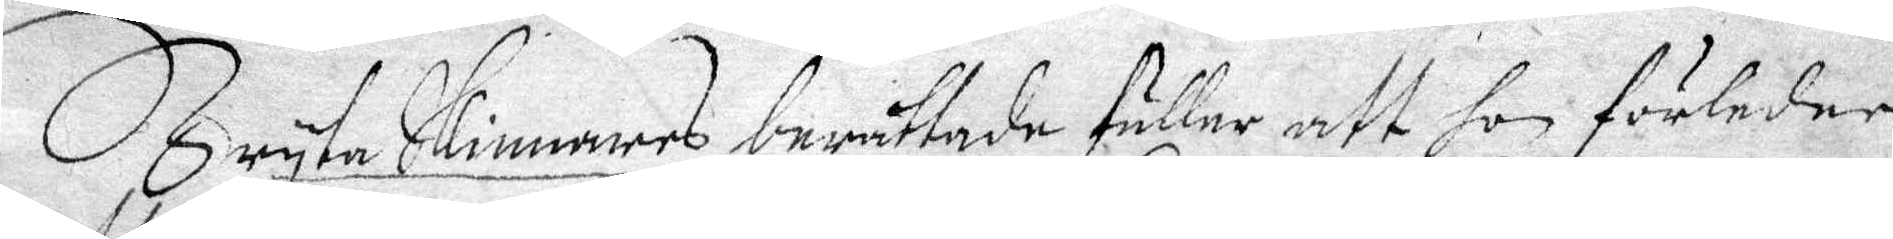Bryta Skinnars berättade fuller att hon förledne
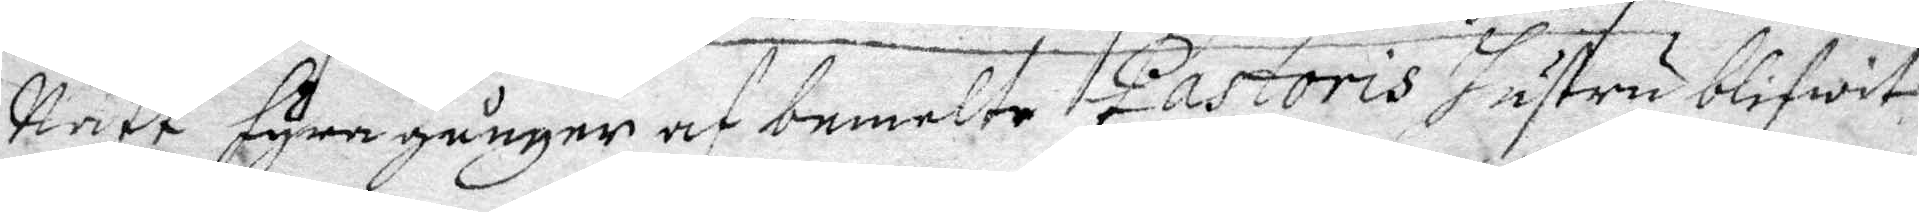Natt fyra gånger af bemelte Pastoris Hustru blifwit
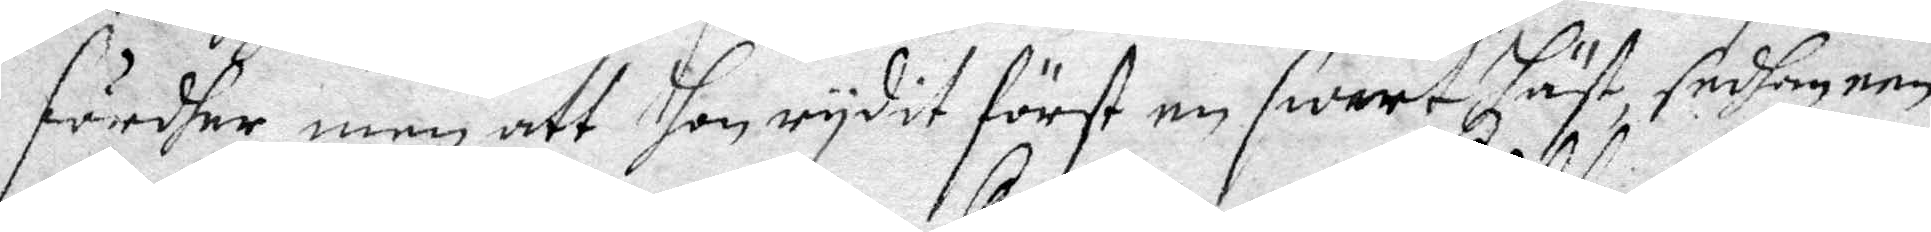fördher, men att hon rydit först en swart Häst, sedhan een
